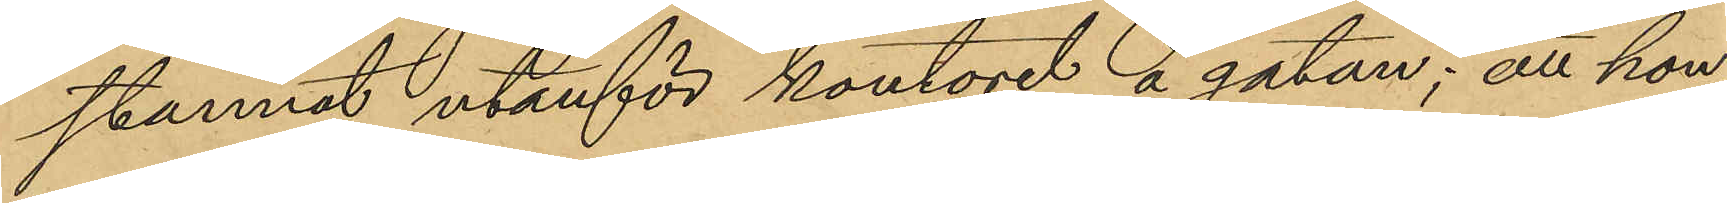stannat utanför kontoret å gatan; att hon
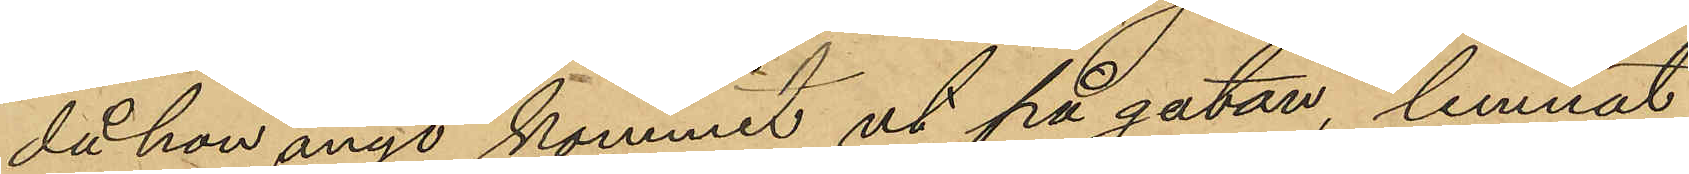det hon ånyo kommit ut på gatan, lemnat
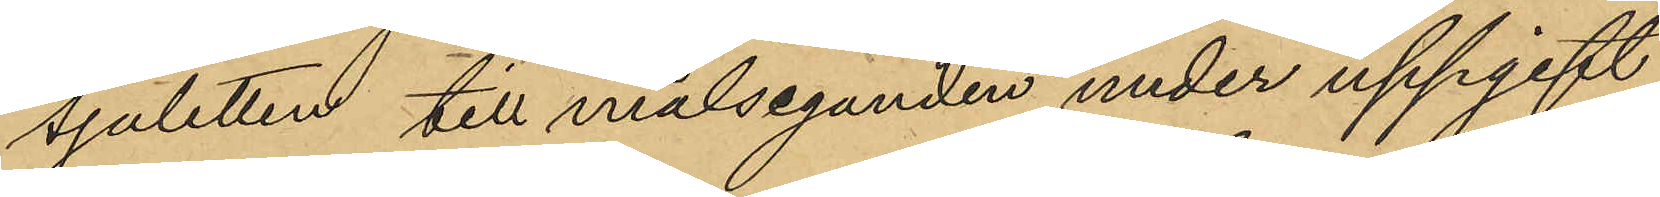sjaletten till målseganden under uppgift
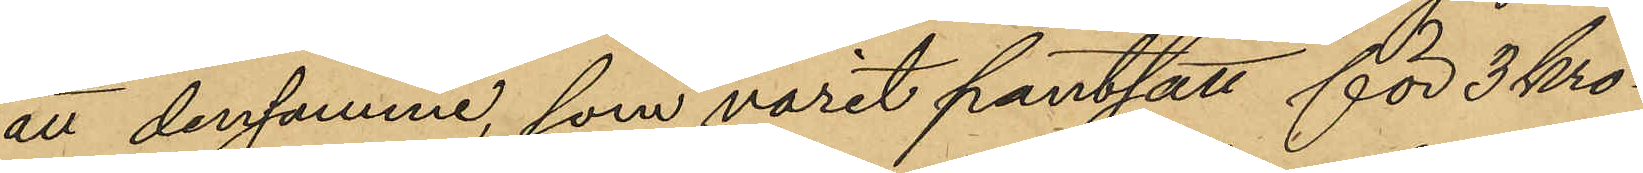att densamme, som varit pantsatt för 3 kro¬
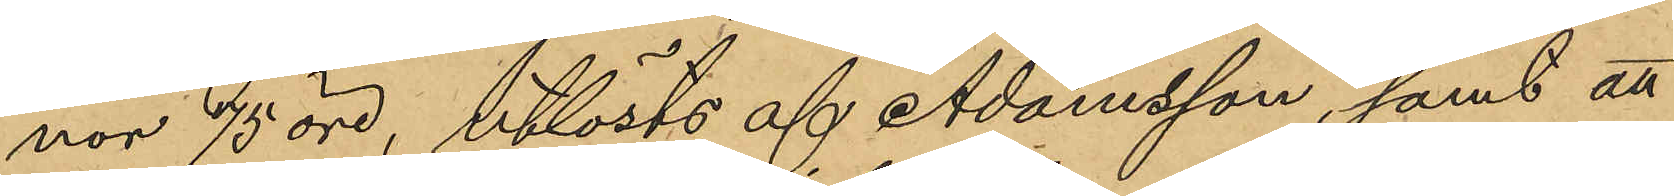nor 75 öre, utlösts af Adamsson, samt att
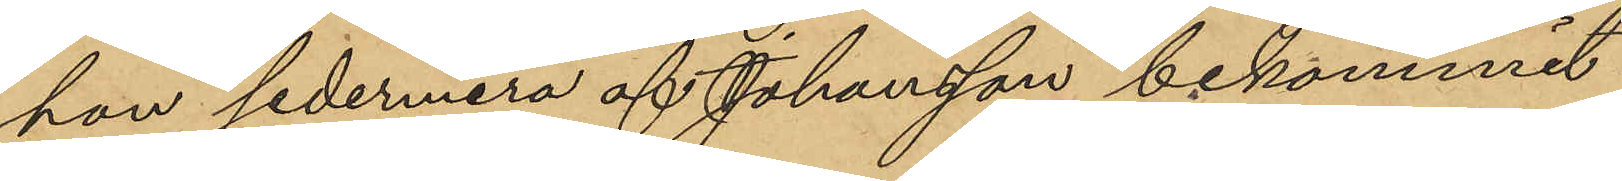hon sedermera af Johansson bekommit
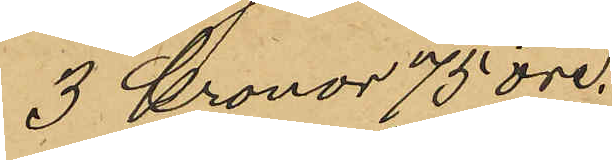3 kronor 75 öre.
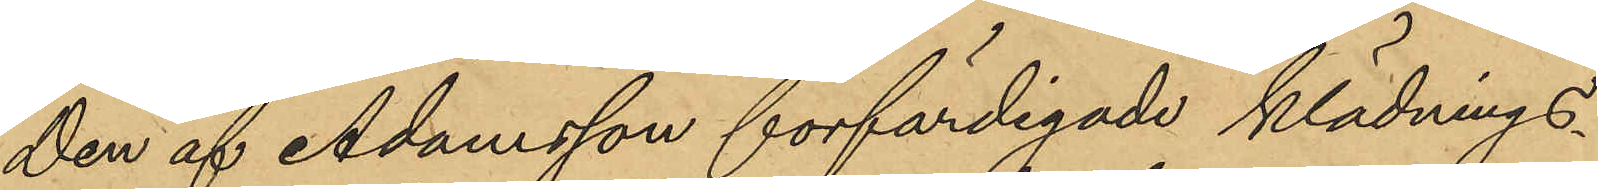Den af Adamsson förfärdigade klädnings¬
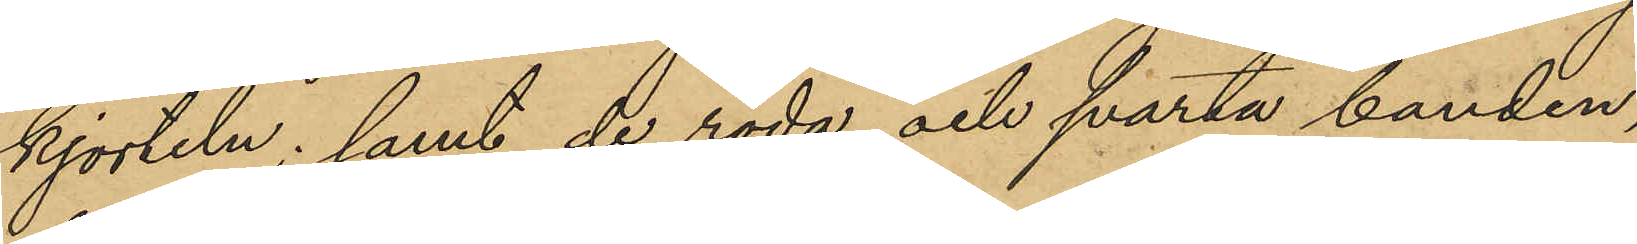kjorteln; samt de röda och svarta banden,
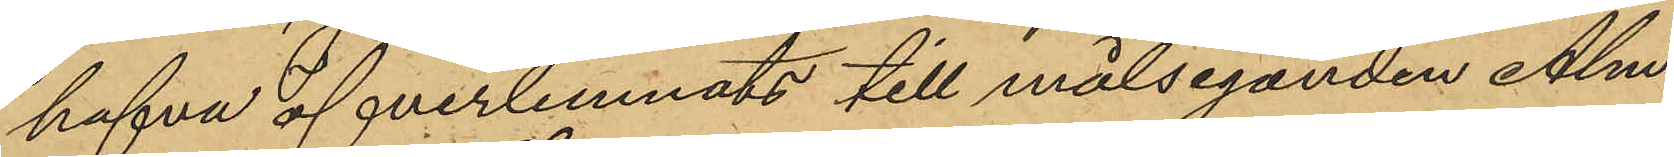hafva öfverlemnats till målseganden Alm.
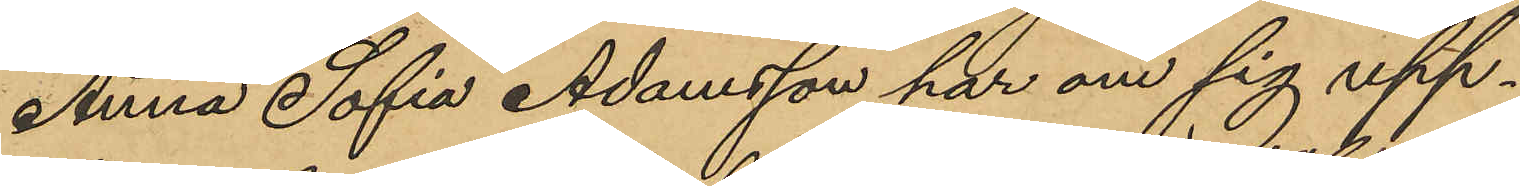Anna Sofia Adamsson har om sig upp¬
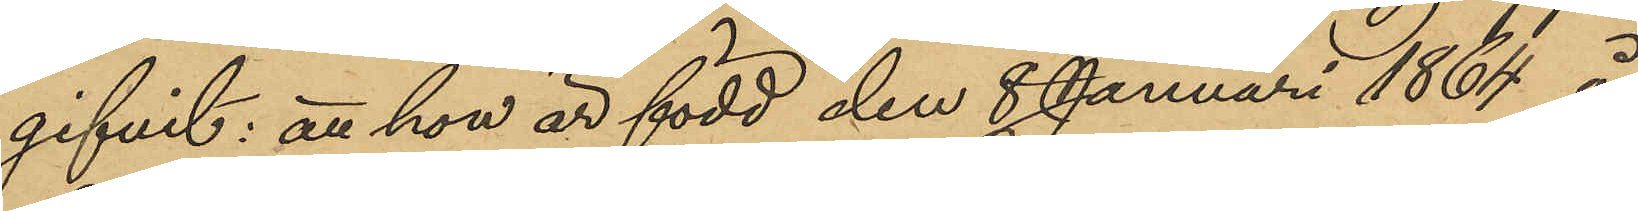gifvit: att hon är född den 8 Januari 1864 å
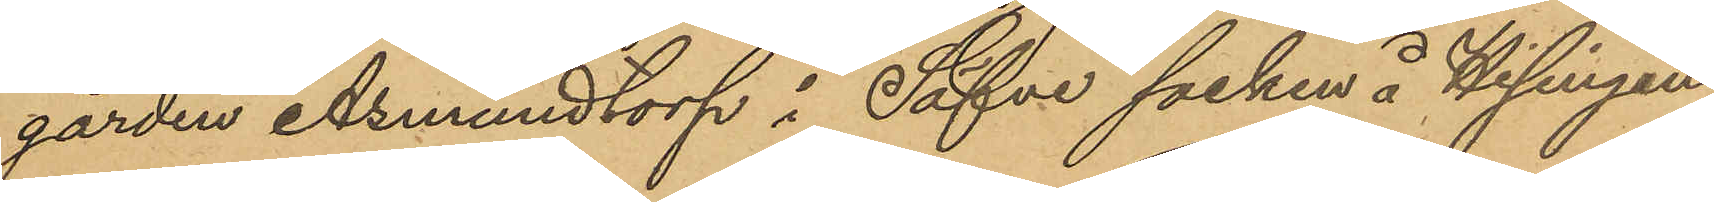gården Asmundtorp i Säfve socken å Hisingen
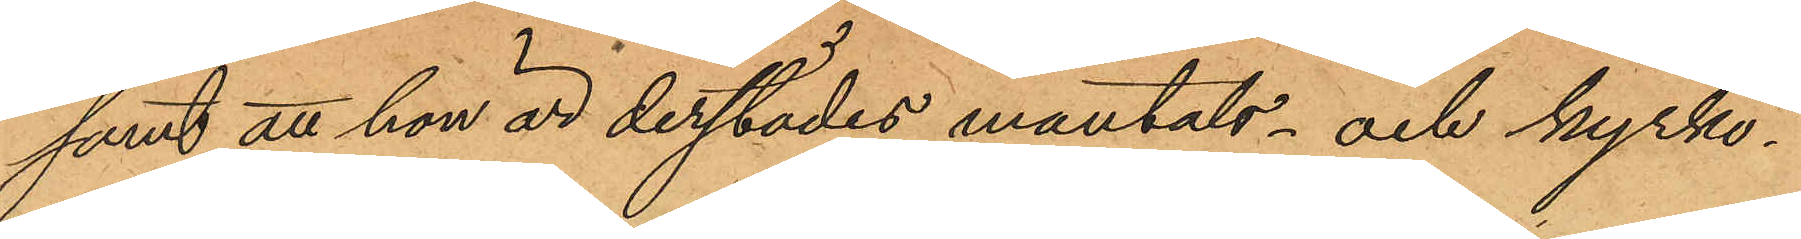samt att hon är derstädes mantals- och kyrko¬
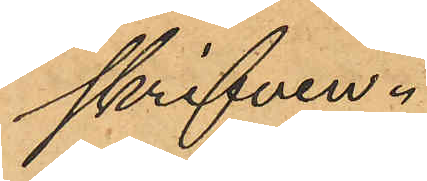skrifven.
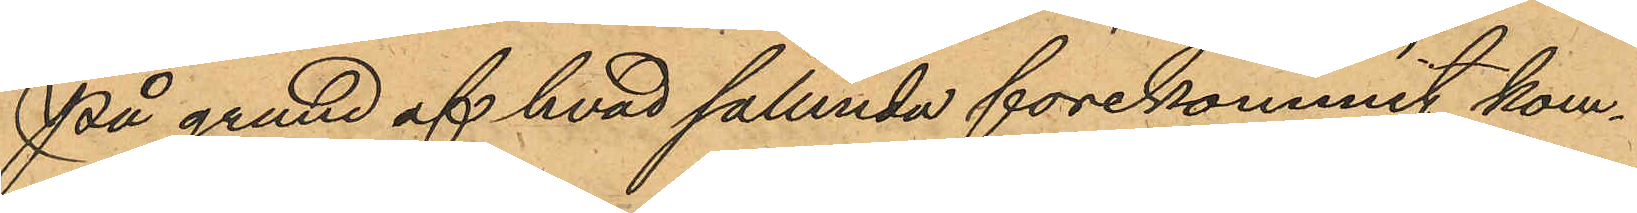På grund af hvad sålunda förekommit kom¬
